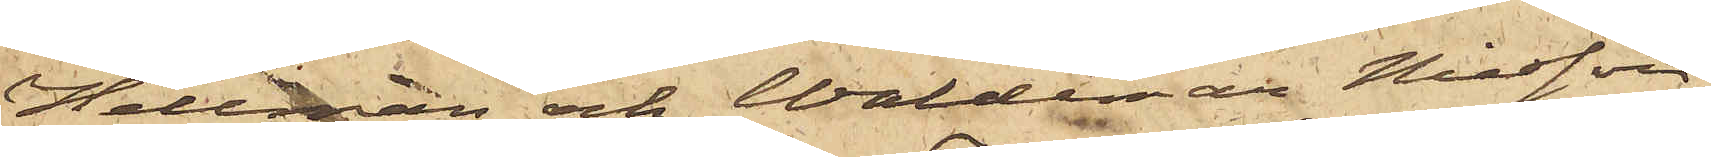Hellman och Waldemar Nilsson,
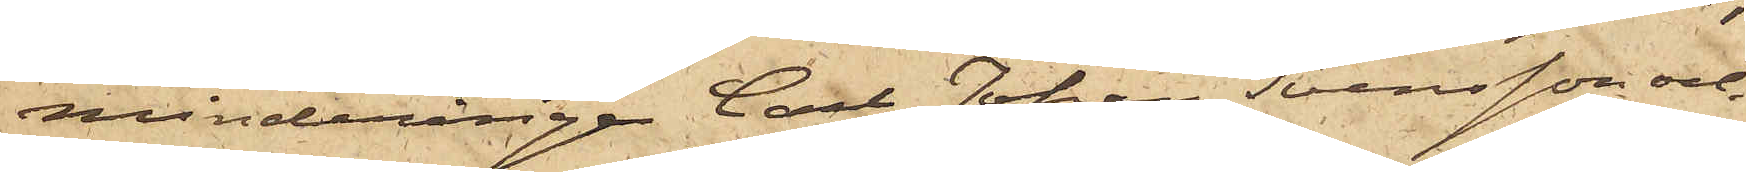minderårige Carl Johan Svensson och
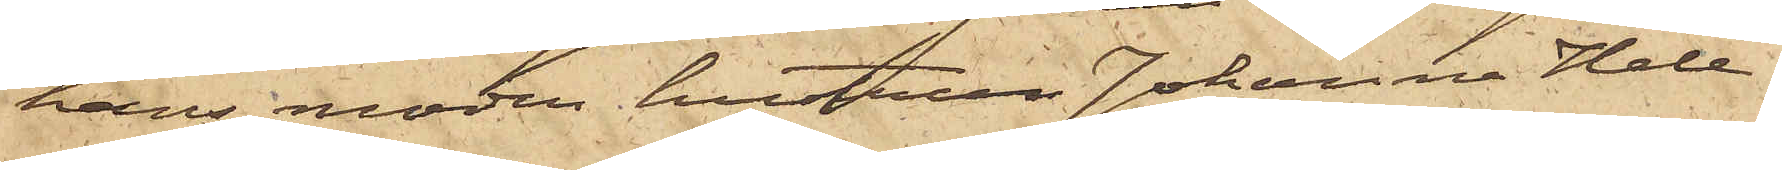hans moder hustrun Johanna Hele¬
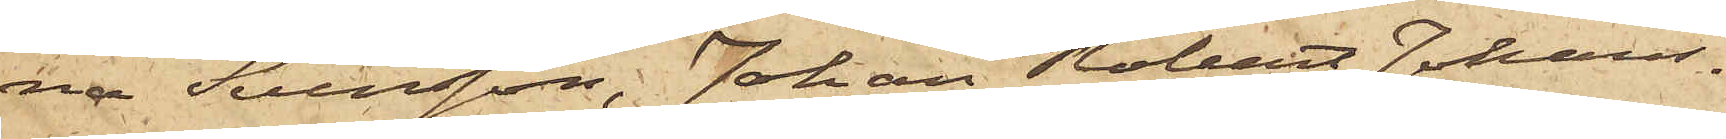na Svensson, Johan Robert Johans¬
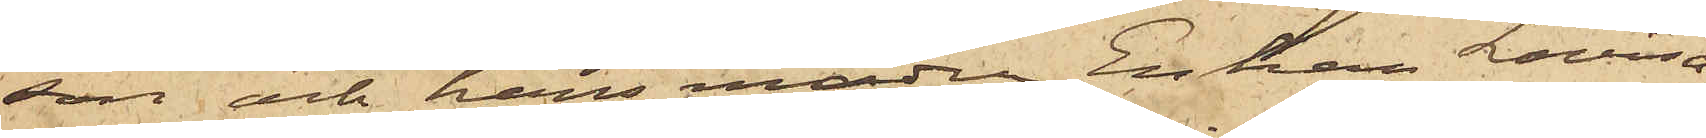son och hans moder Enkan Lovisa
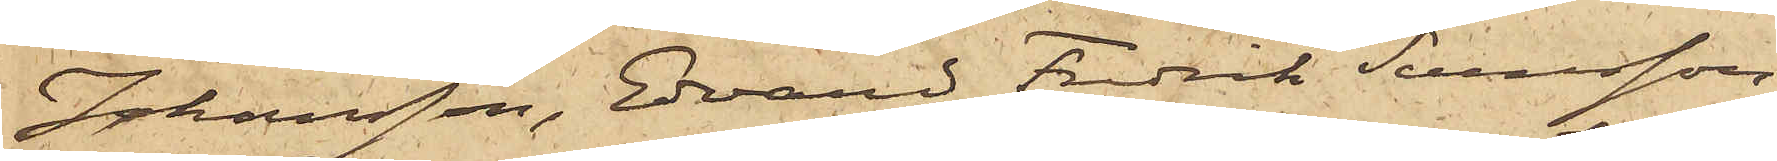Johansson, Edvard Fredrik Svensson,
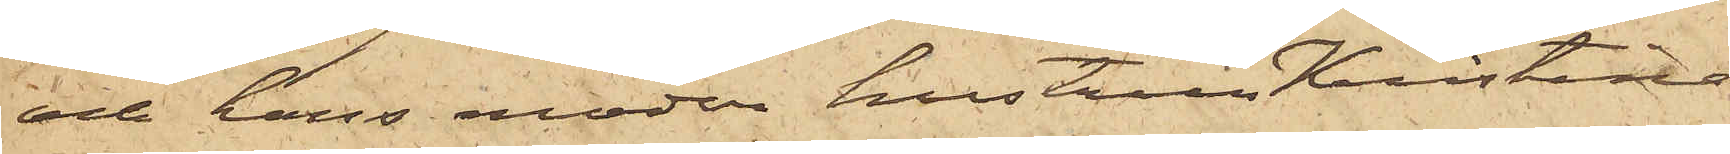och hans moder hustrun Kristina
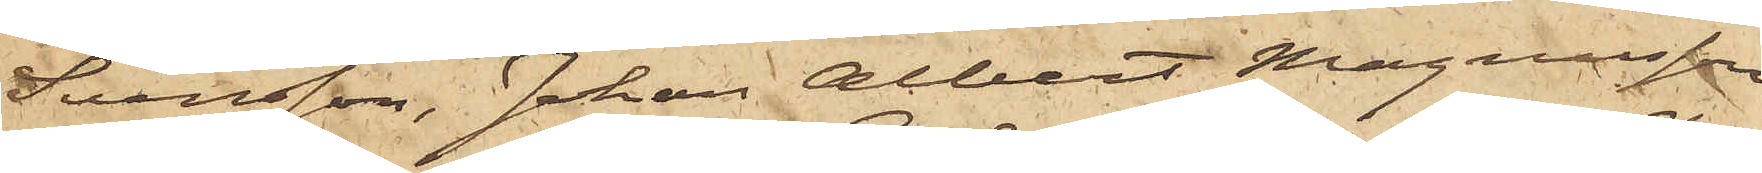Svensson, Johan Albert Magnusson
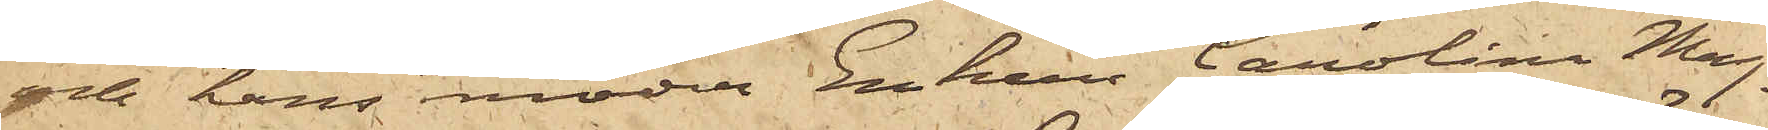och hans moder Enkan Carolina Mag¬
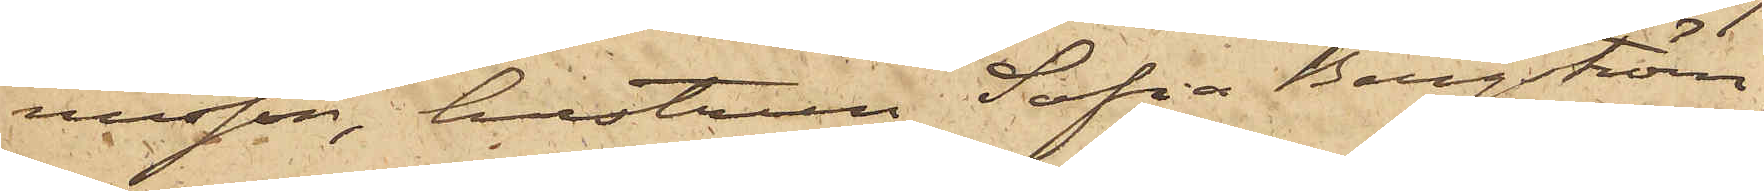nusson, hustrun Sofia Bergström,
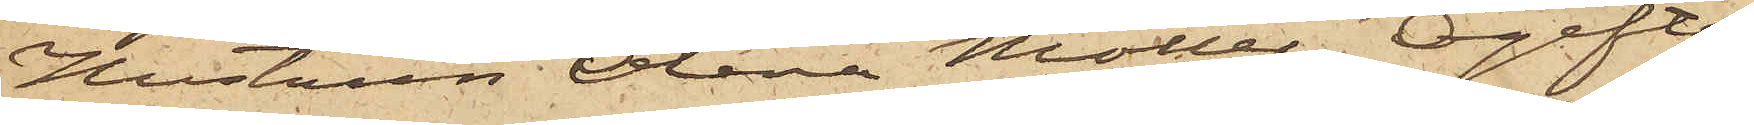Hustrun Olena Möller, Ogifta
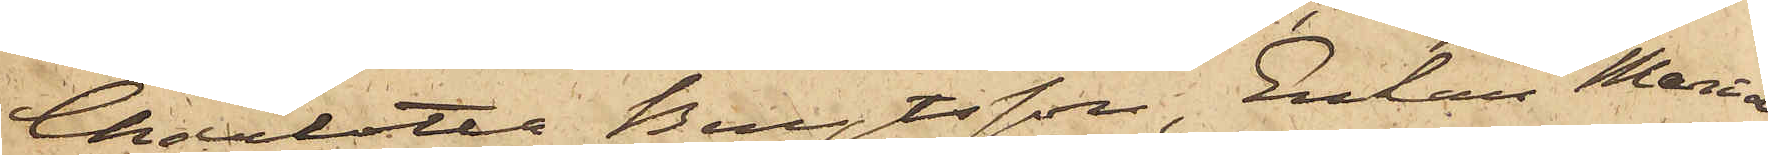Charlotta Bengtsson, Enkan Maria
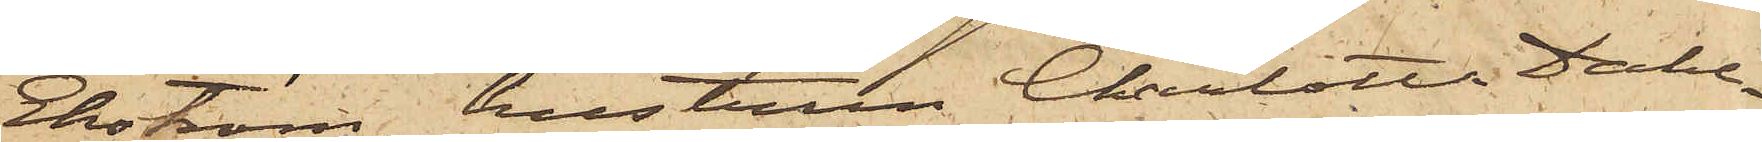Ekström, hustrun Charlotta Dahl¬
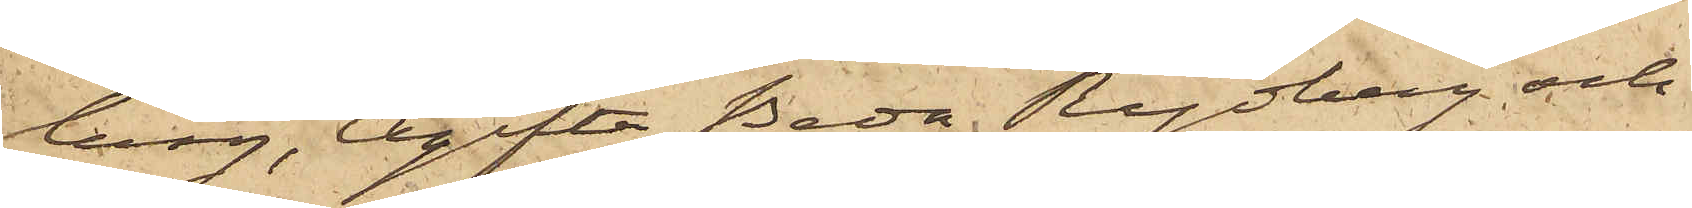berg, Ogifta Beda Rydberg och
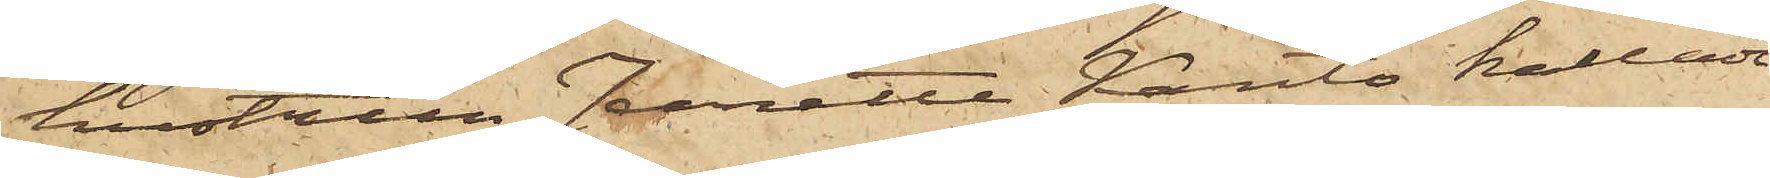hustrun Jeanette Kanto kallade
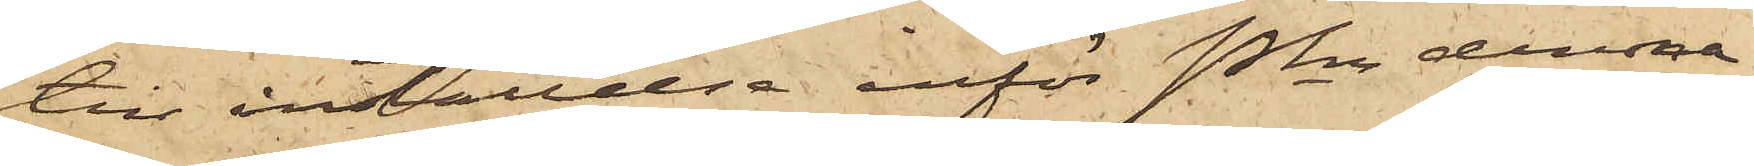till inställelse inför Pkn denna
